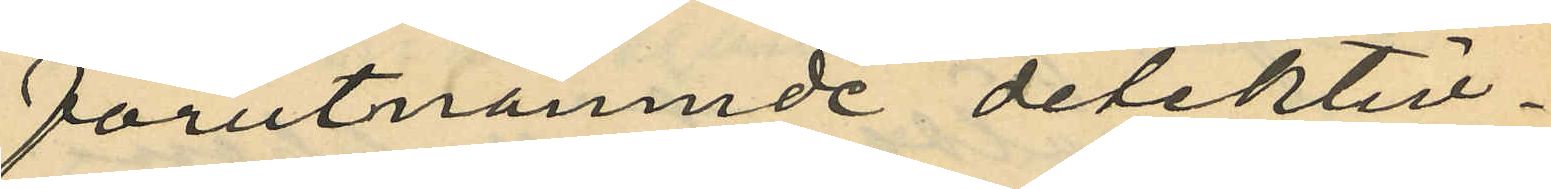förutnämnde detektiv¬
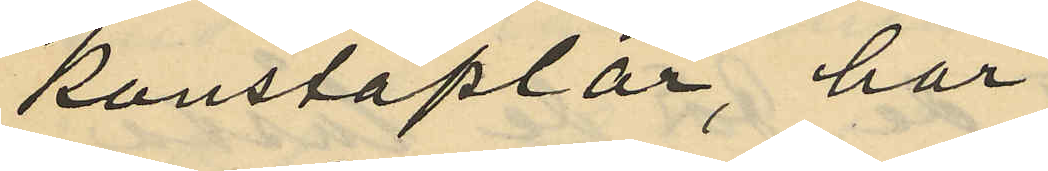konstaplar, har
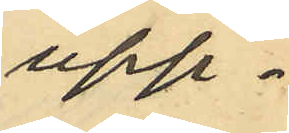upp¬
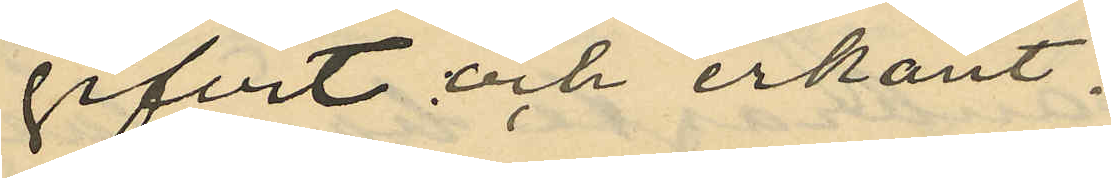gifvit och erkänt:
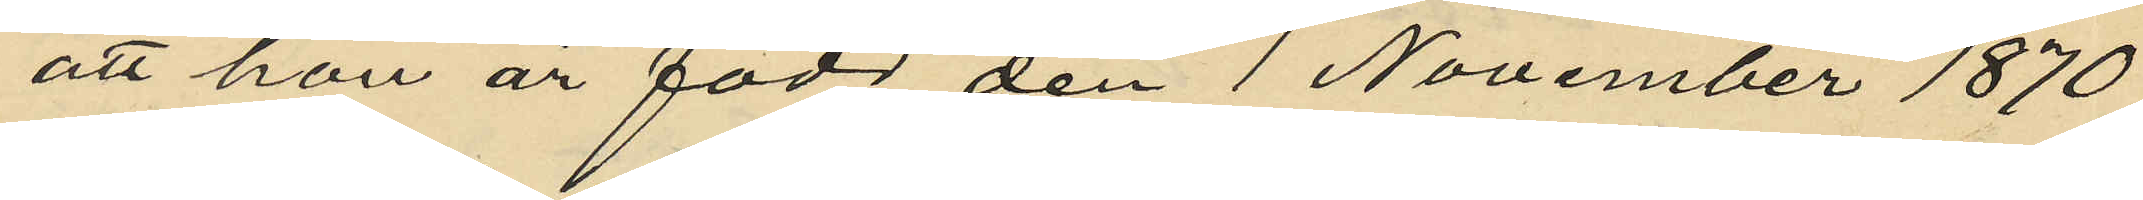att hon är född den 1 November 1870
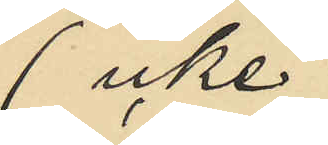(icke
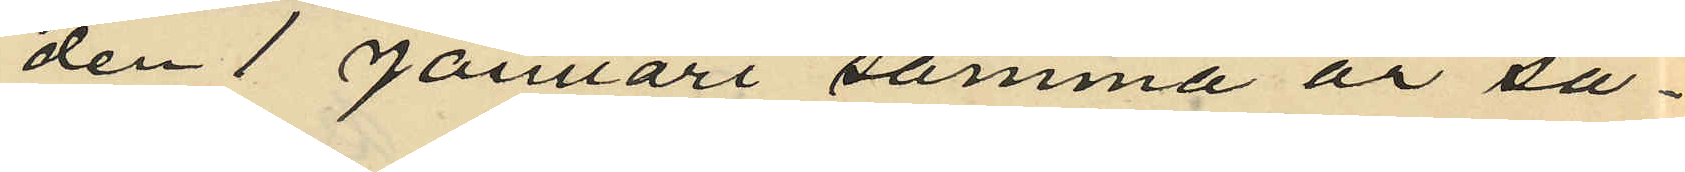den 1 Januari samma år så¬
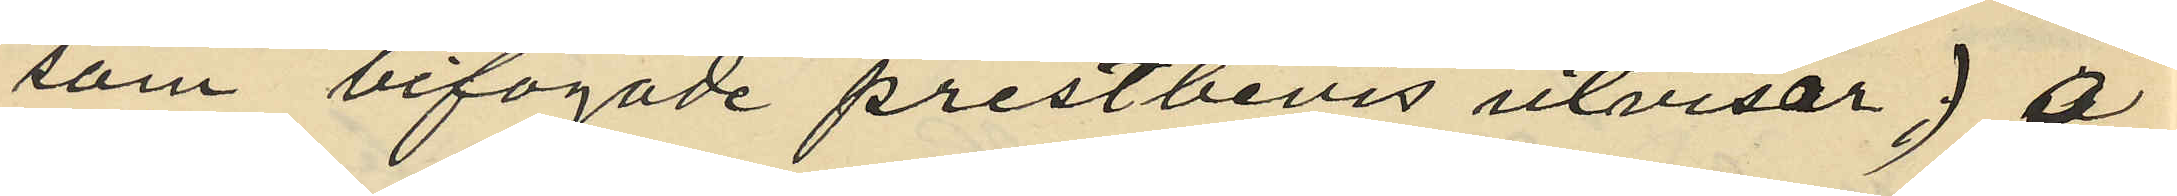som bifogade prästbevis utvisar) å
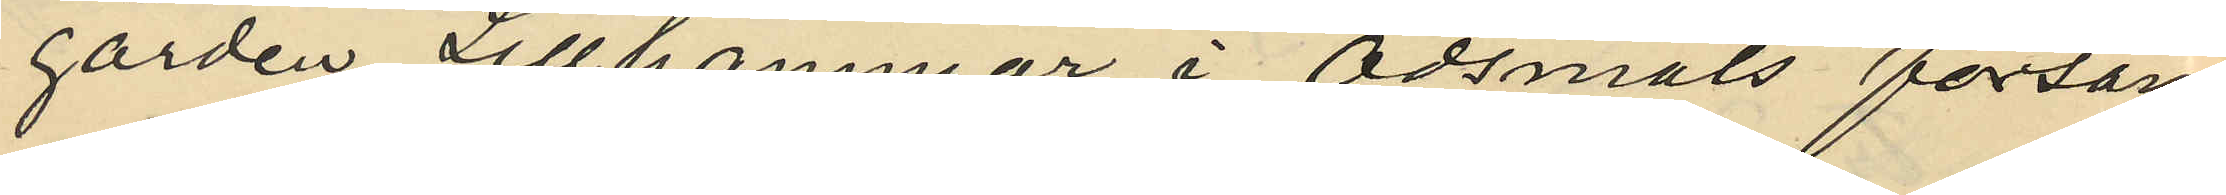gården Lillhammar i Ödsmåls försam¬
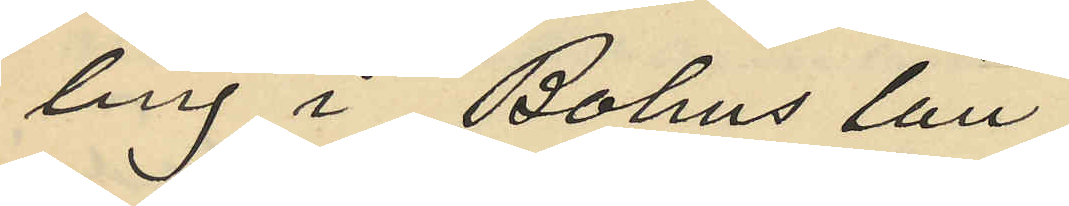ling i Bohus län;
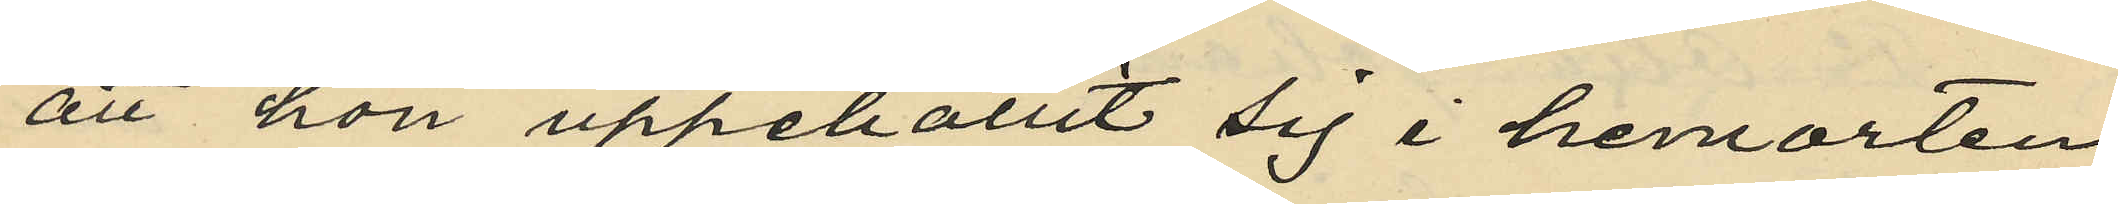att hon uppehållit sig i hemorten
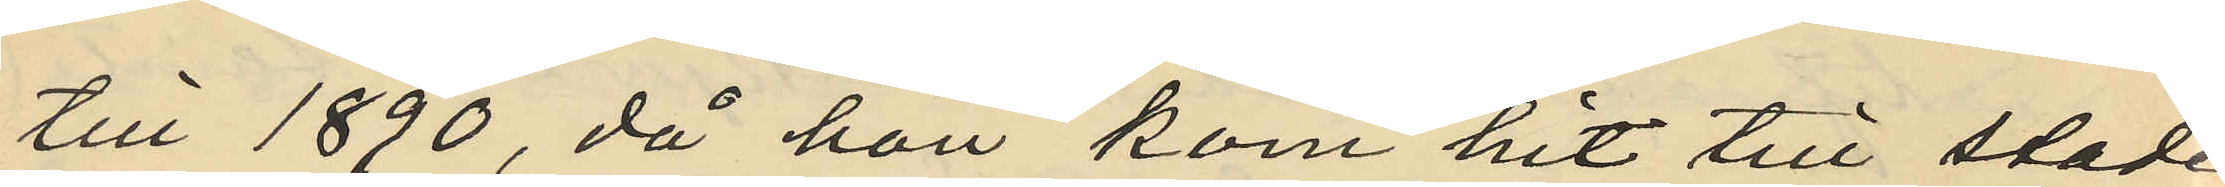till 1890, då hon kom hit till staden
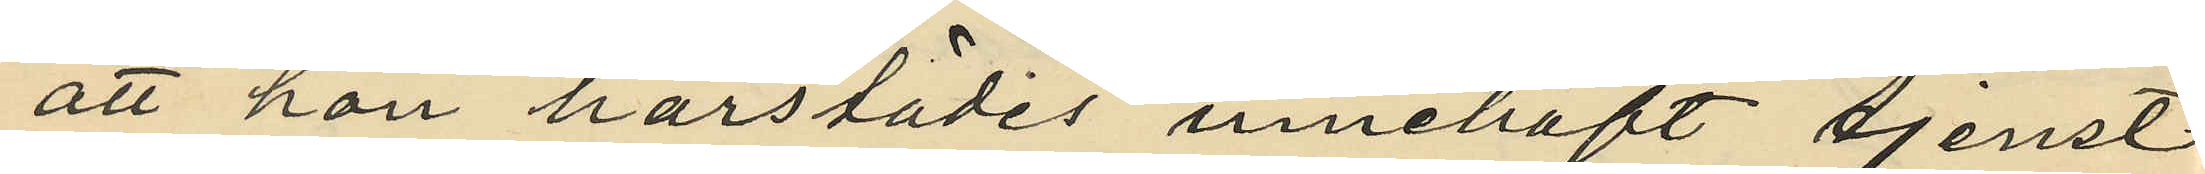att han härstädes innehaft tjenst
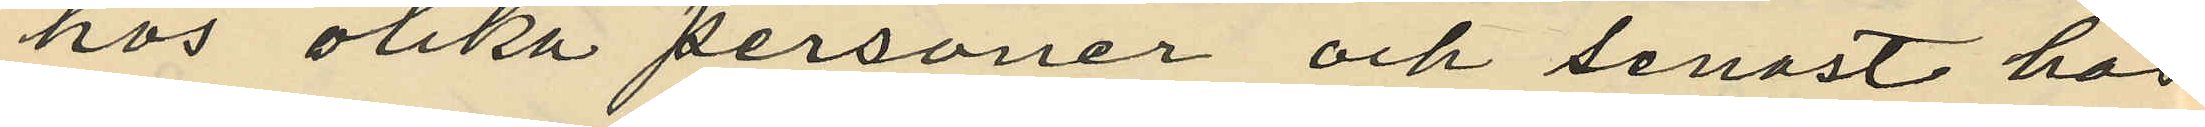hos olika personer och senast hos
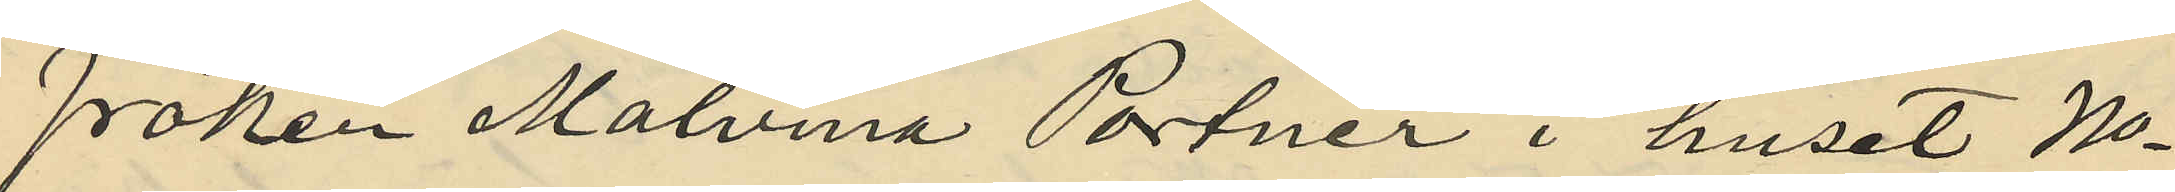Fröken Malvina Portnér i huset No
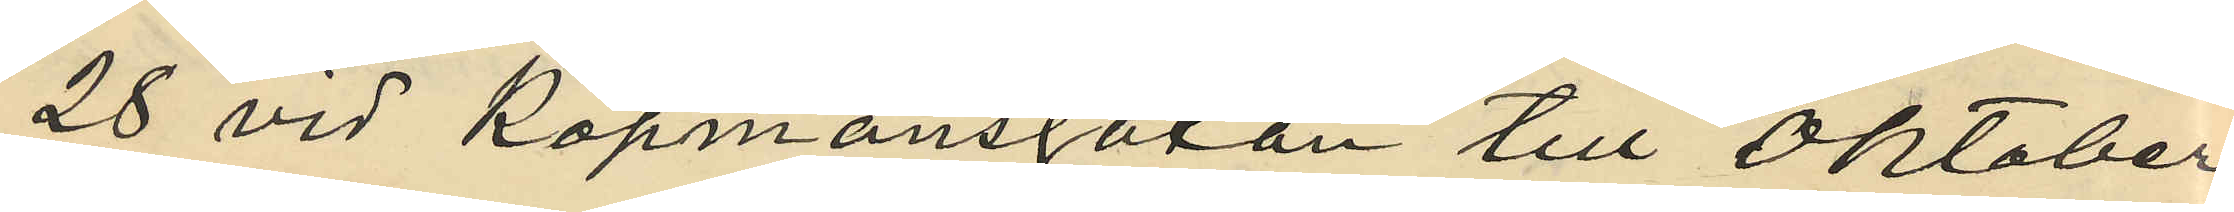28 vid Köpmansgatan till Oktober
